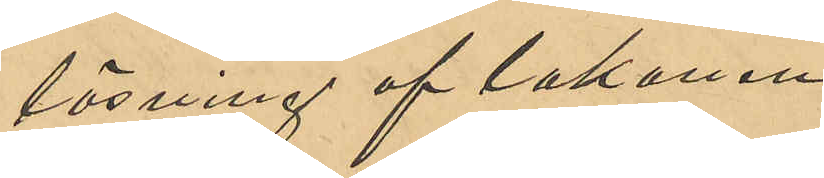lösning af lakanen.
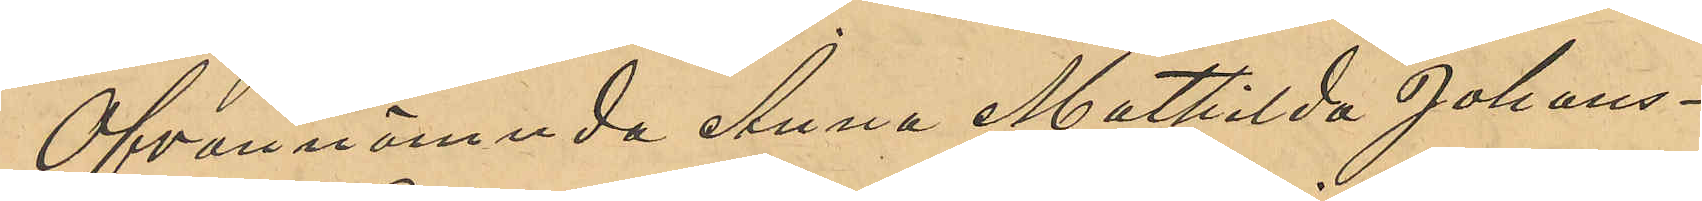Ofvannämnda Anna Mathilda Johans¬
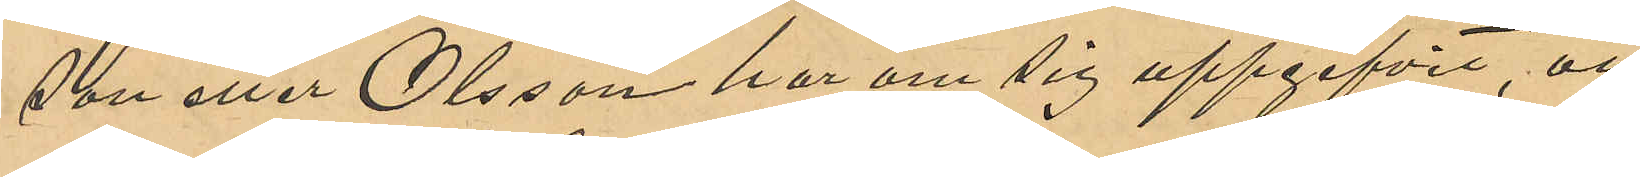son eller Olsson har om sig uppgifvit, att
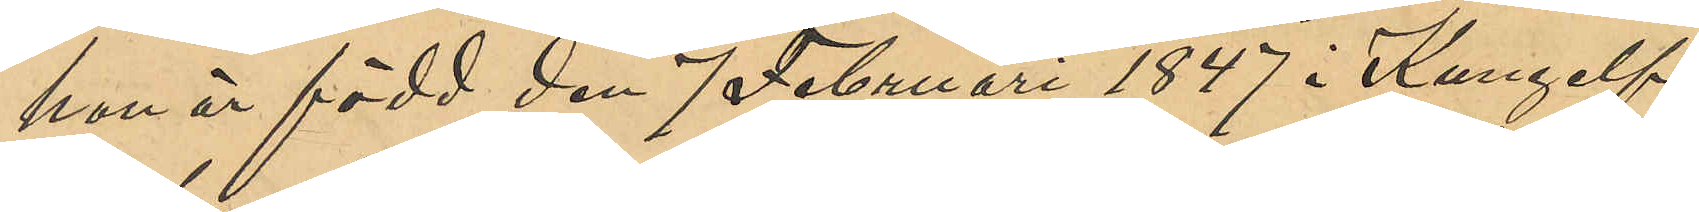hon är född den 7 Februari 1847 i Kungelf;
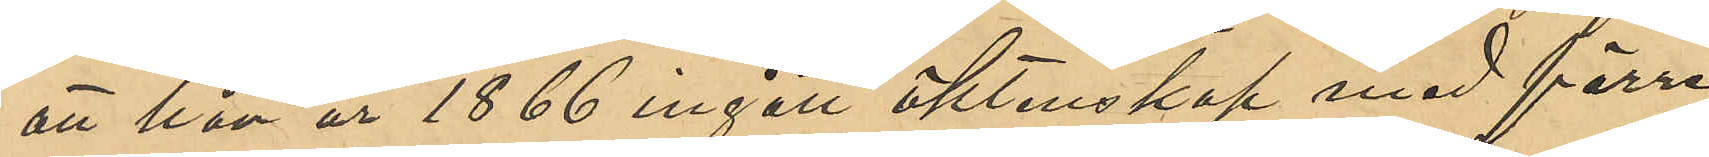att hon år 1866 ingått äktenskap med förre
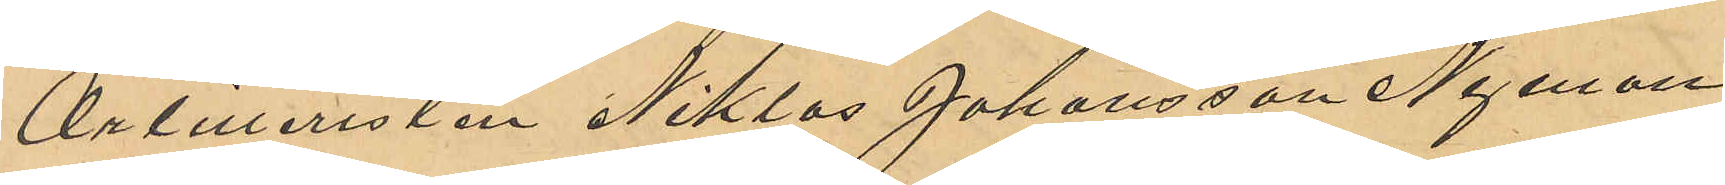Artilleristen Niklas Johansson Nyman,
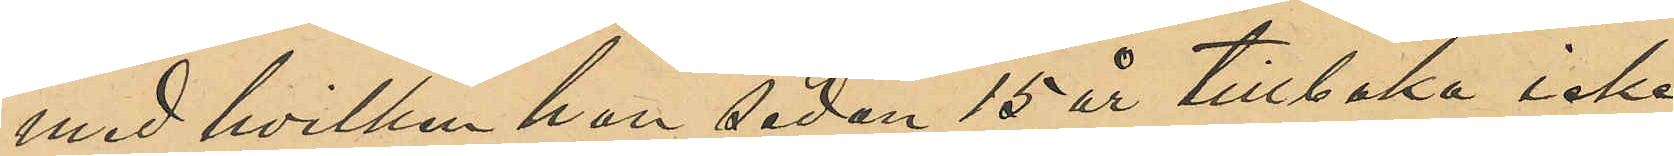med hvilken hon sedan 15 år tillbaka icke
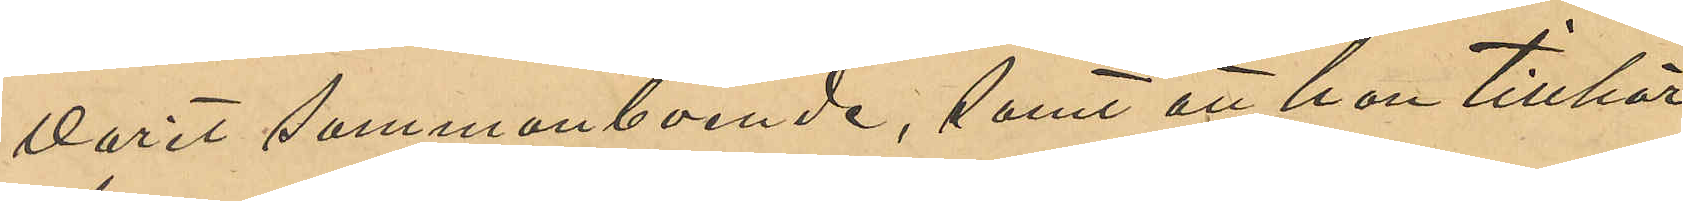varit sammanboende, samt att hon tillhör
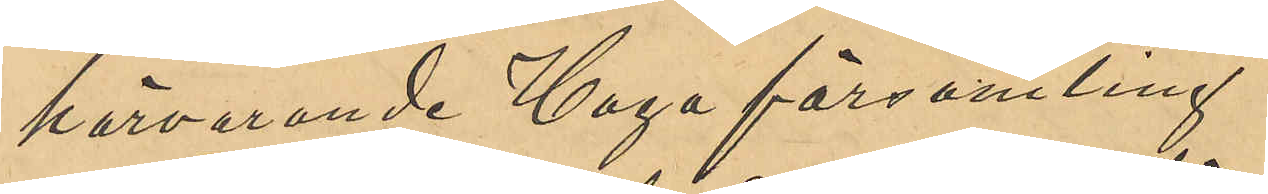härvarande Haga församling.
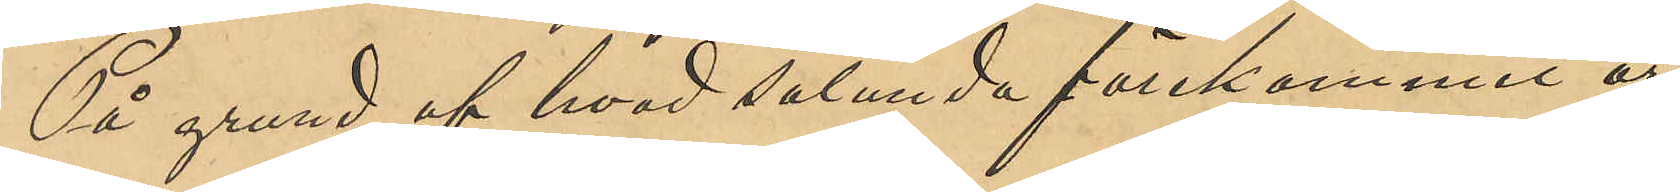På grund af hvad sålunda förekommit är
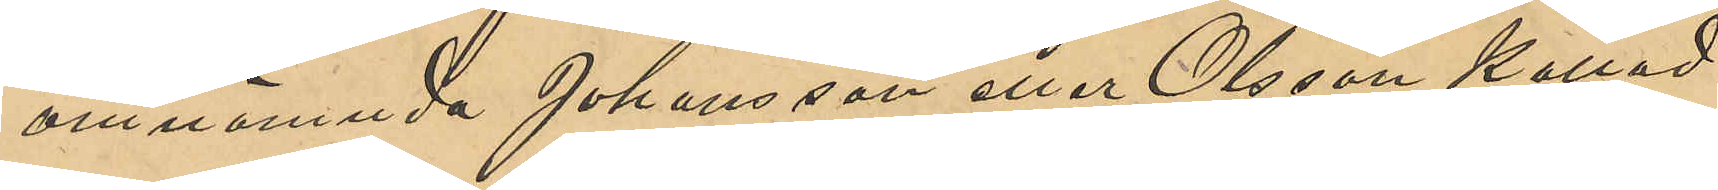omnämnda Johansson eller Olsson kallad
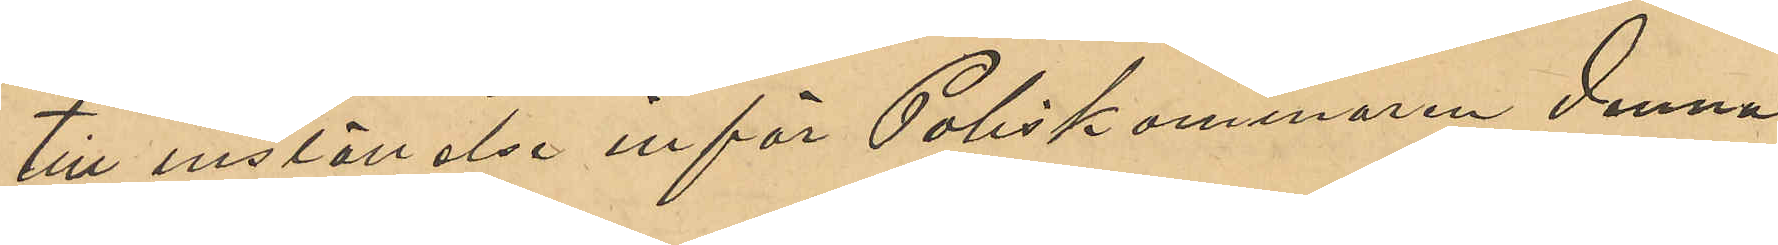till inställelse inför Poliskammaren denna
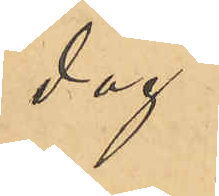dag.
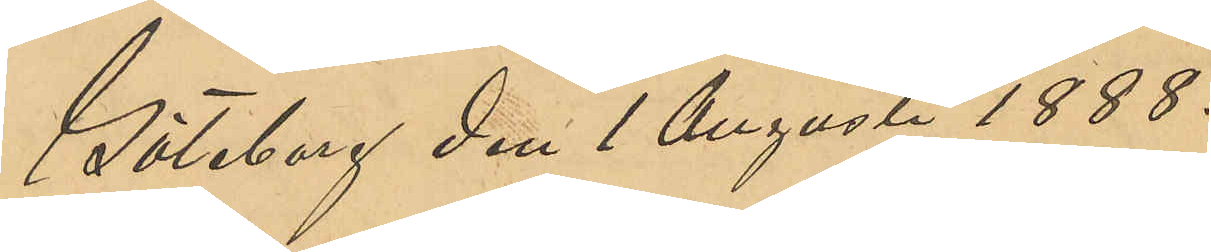Göteborg den 1 Augusti 1888.
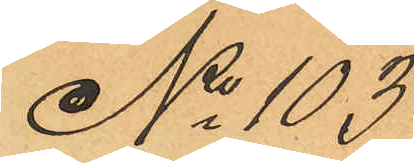No 103
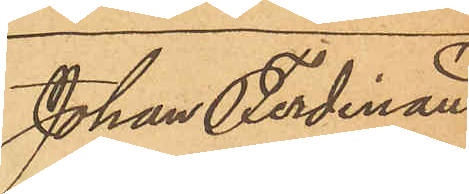Johan Ferdinand
